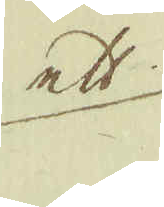ett
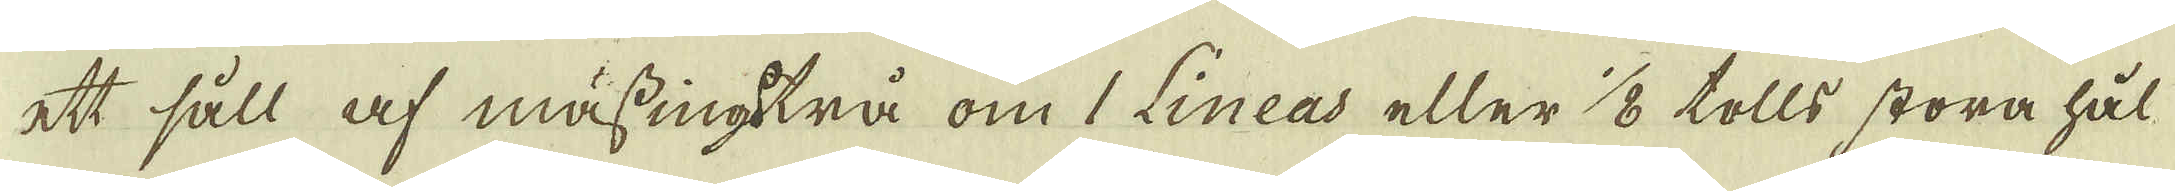ett såll af mässingtrå om 1 Lineas eller 1/8 tolls stora hål-
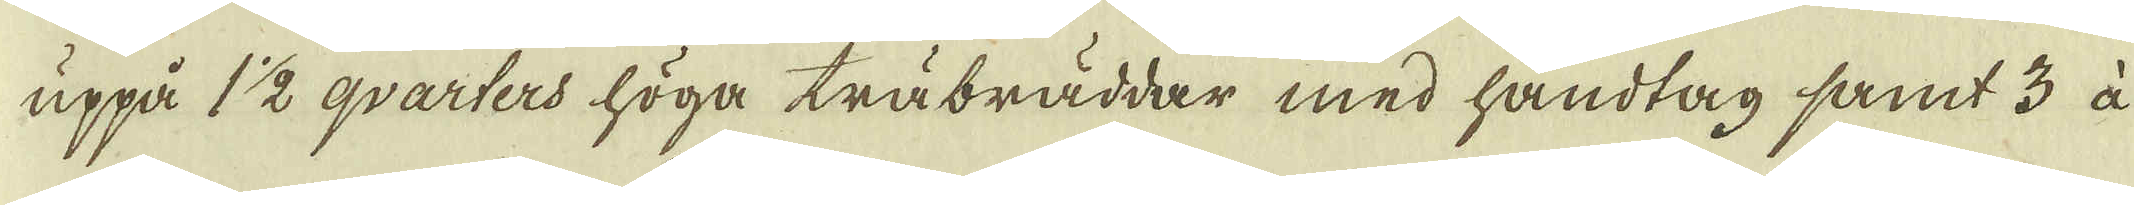uppå 1 1/2 qvarters höga träbräddar med handtag samt 3 à
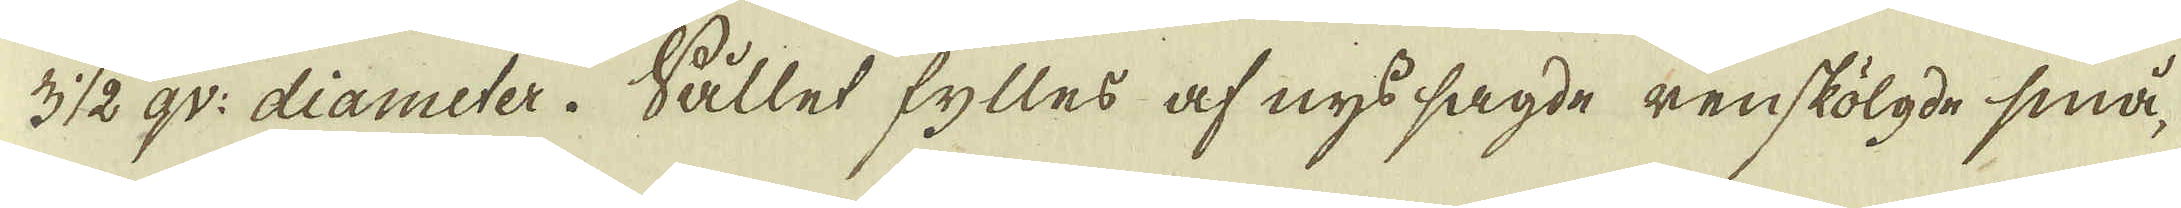3 1/2 gr: diameter. Sållet fylles af nys sagde renskölgde små,
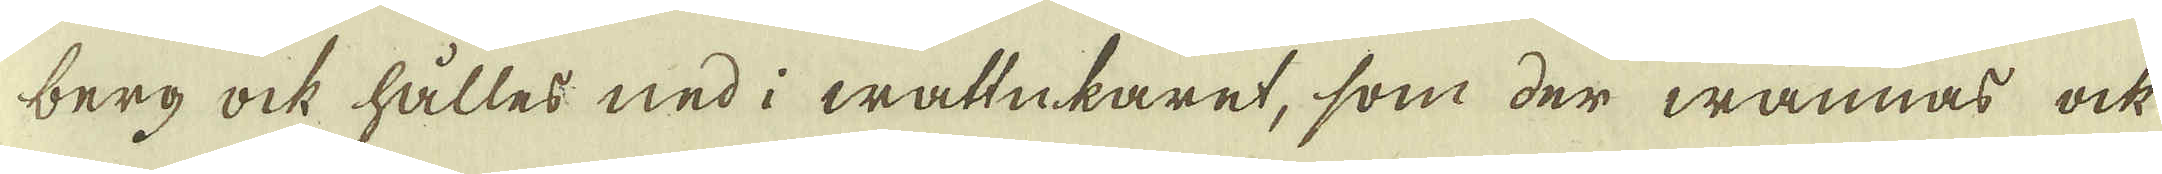berg ock hålles ned i wattukaret, som der wännas ock
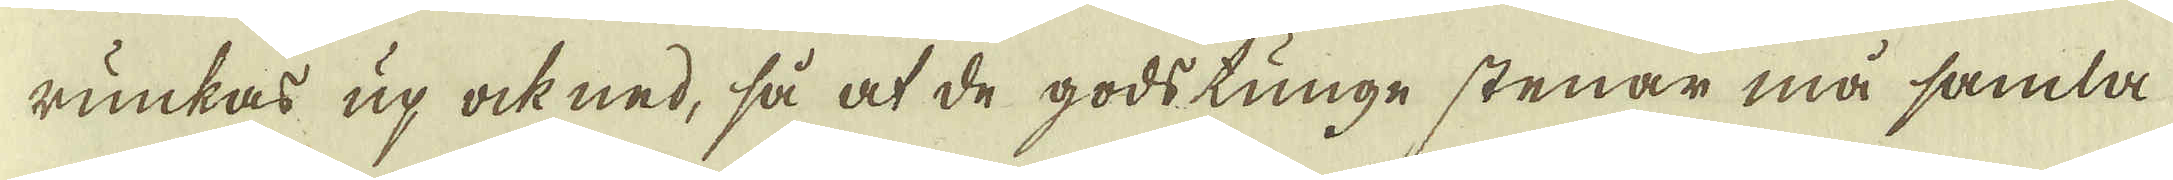runkas up ock ned, så at de godstunge stenar må samla
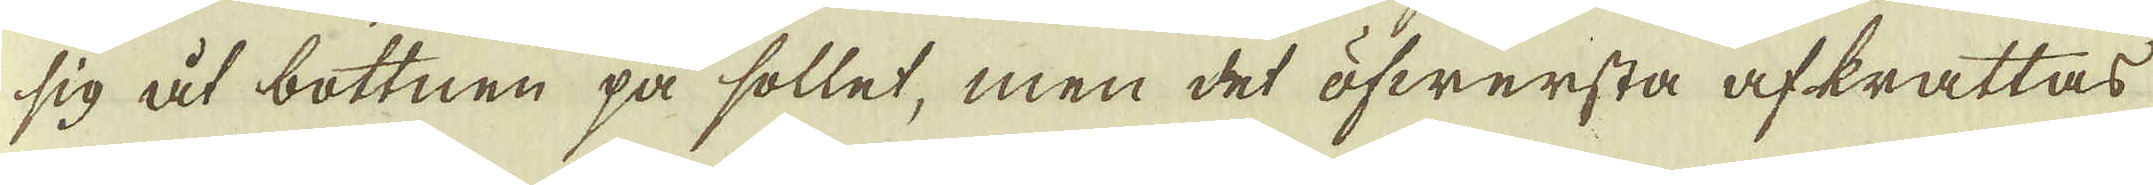sig åt bottnen på sollet, men det öfwersta afkrattas
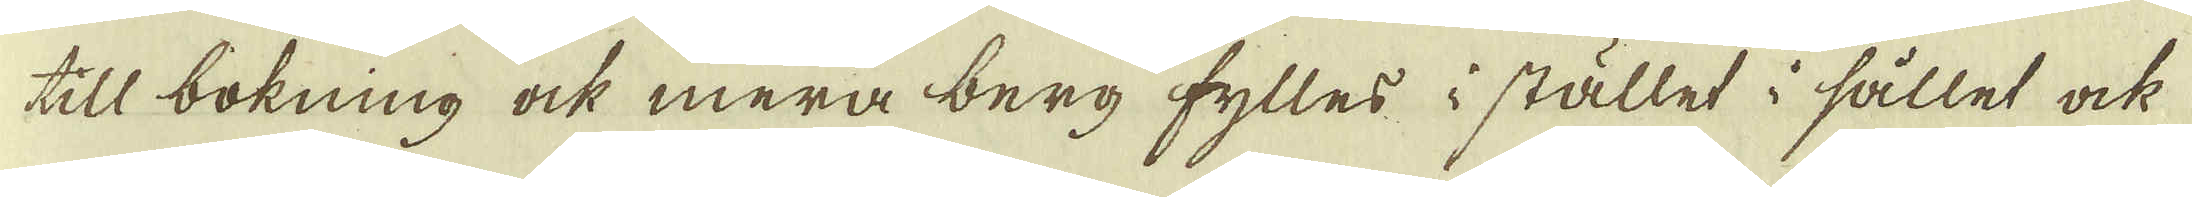till bokning ock mera berg fylles i stället i sållet ock
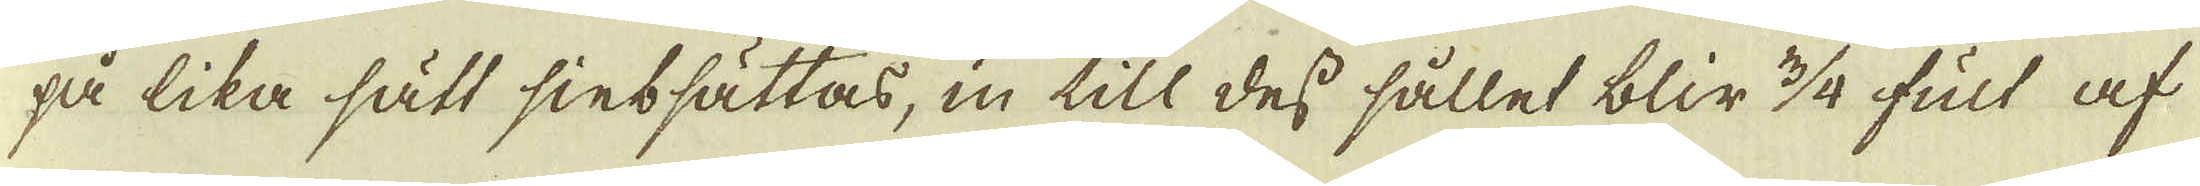så lika sätt sintsättas, in till dess sållet blir 3/4 fult af
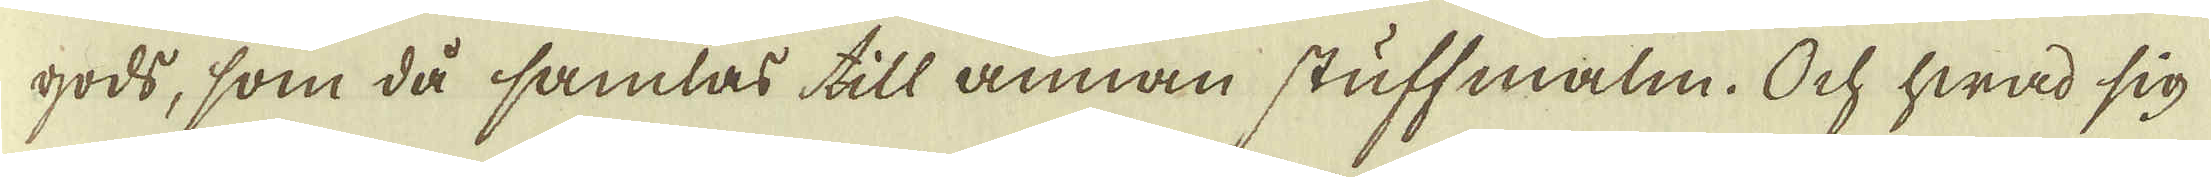gods, som då samlas till annan stuff malm. Och hwad sig
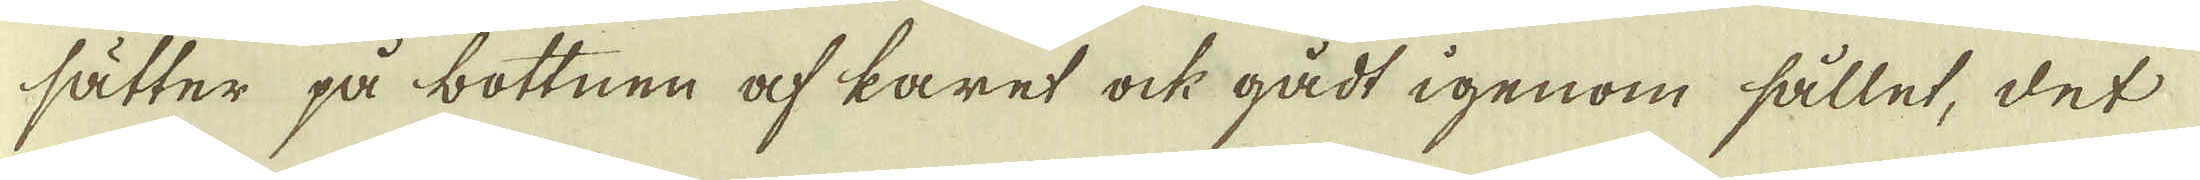sätter på bottnen af karet ock gådt igenom sållet, det
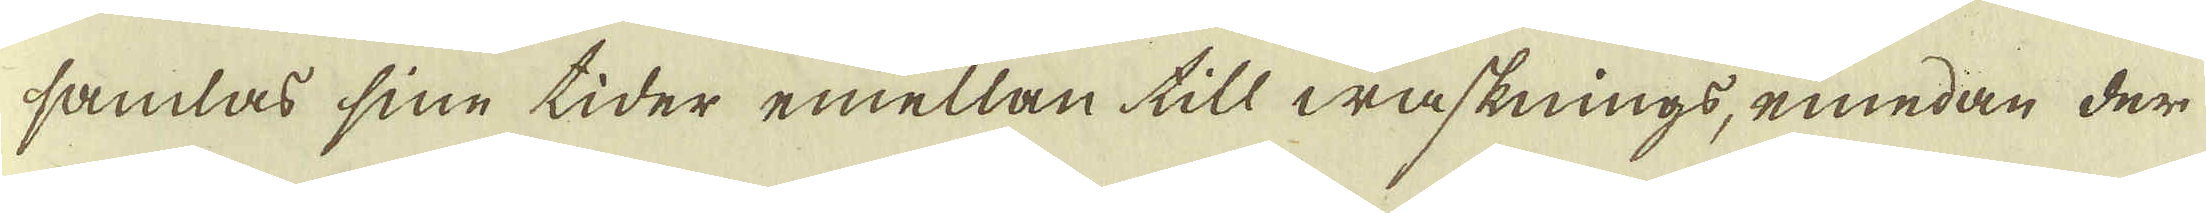samlas sine tider emellan till wasknings, emedan der
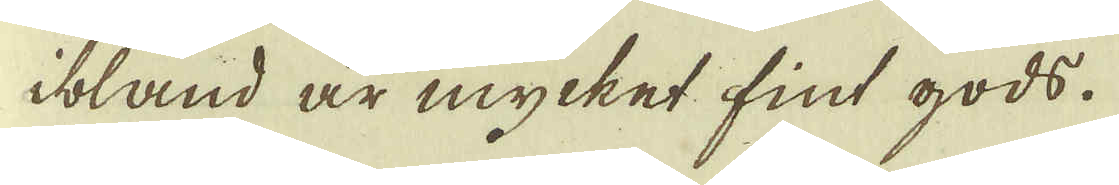ibland är mycket fint gods.
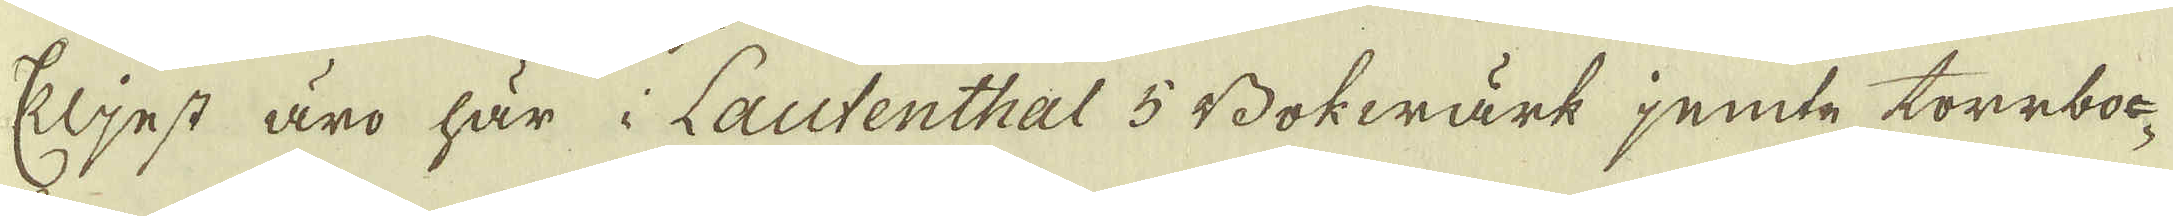Eljest äro här i Lautenthal 5 Bokwärk jemte torrboc-
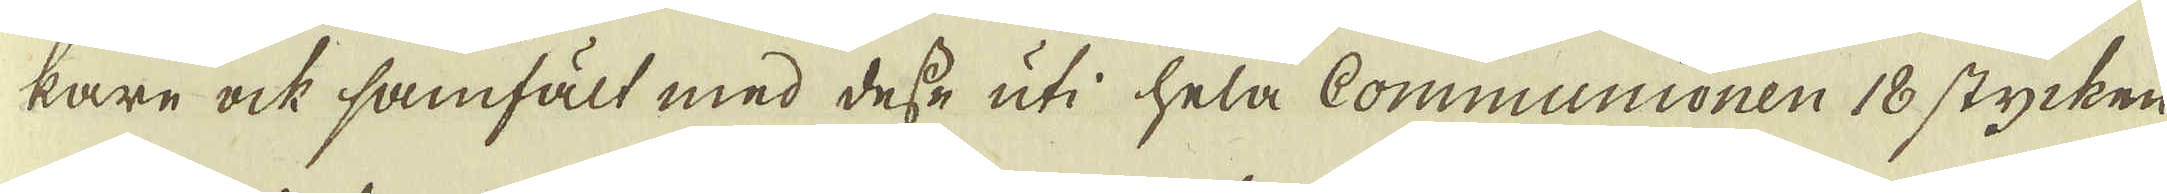kare ock samfält med desse uti hela Communionen 18 stycken
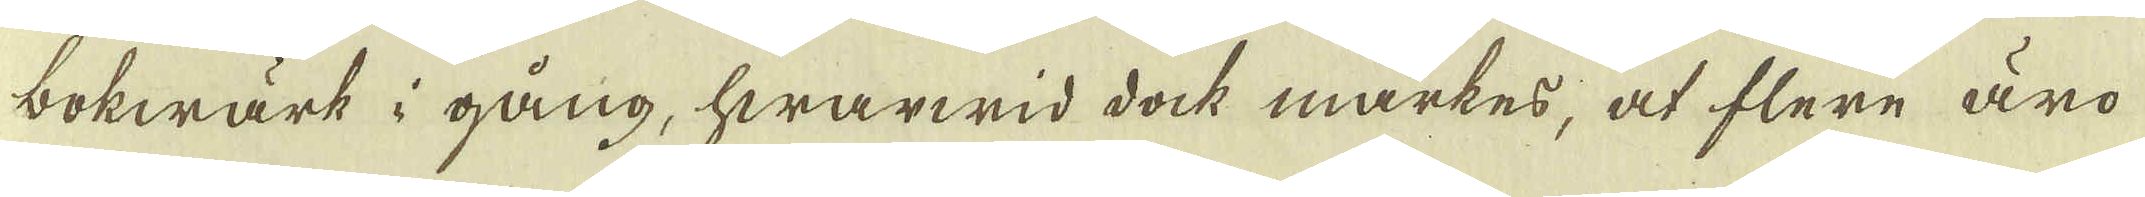bokwärk i gång, hwarwid dock märkes, at flere äro
